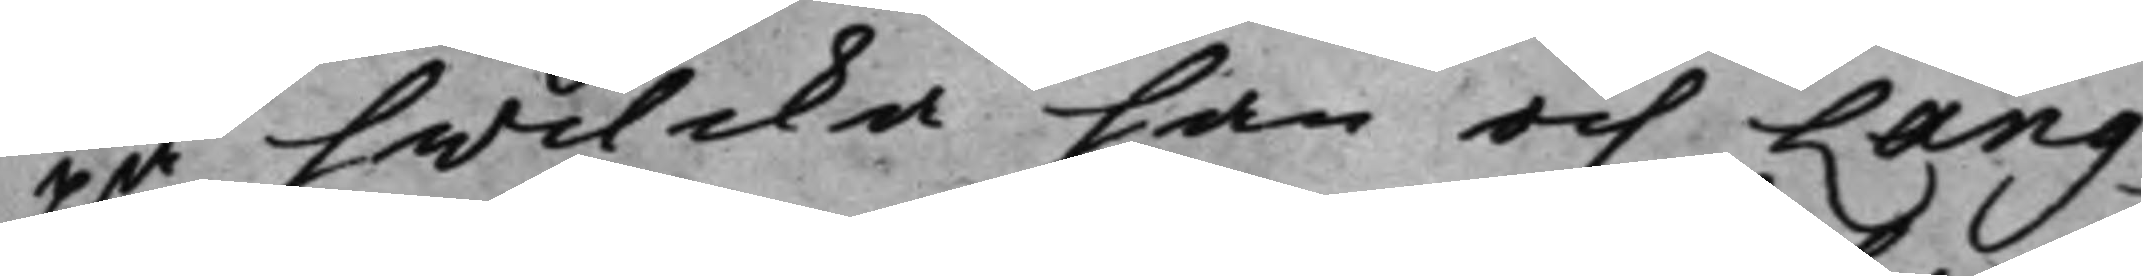på hwilcka han och Lang¬
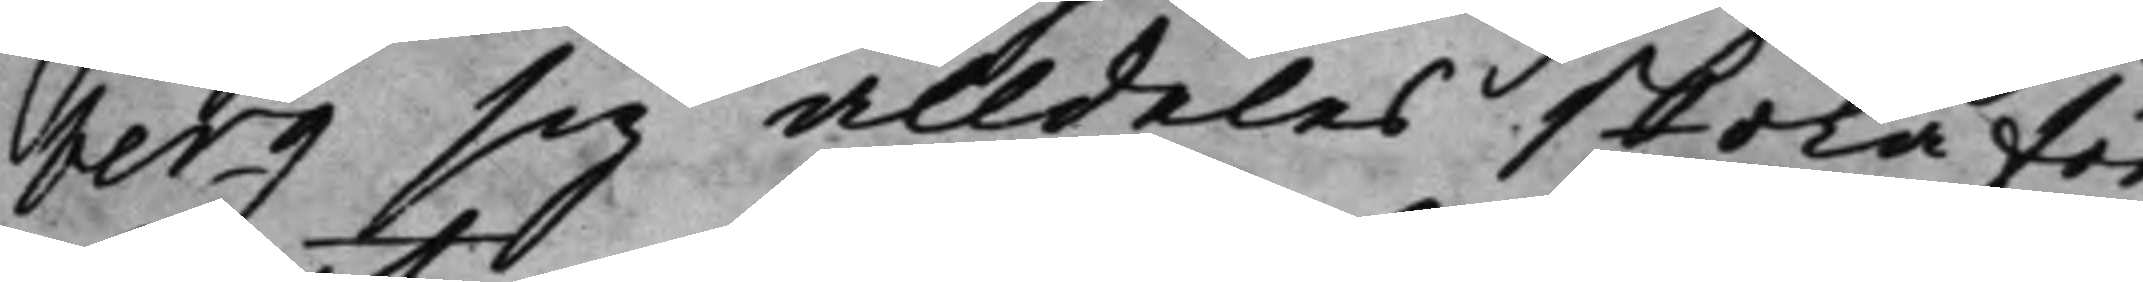berg sig alldeles skola för¬
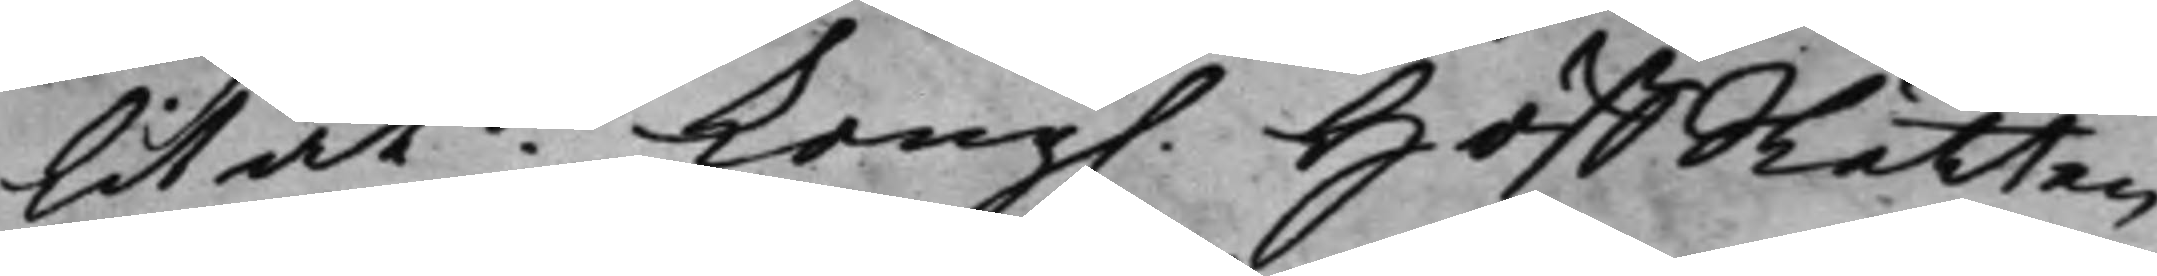litat. Kong. HoffRätten
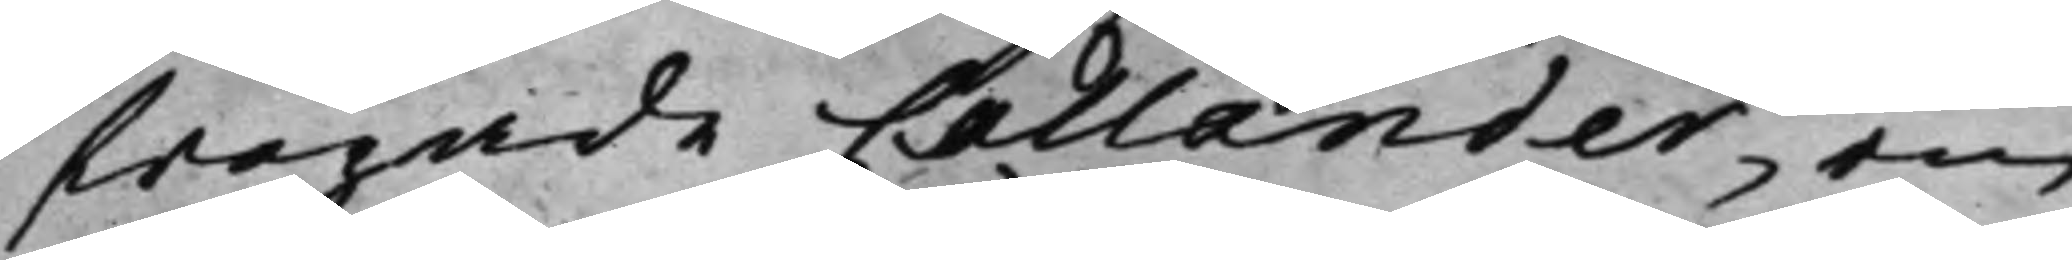frågade Callander, om
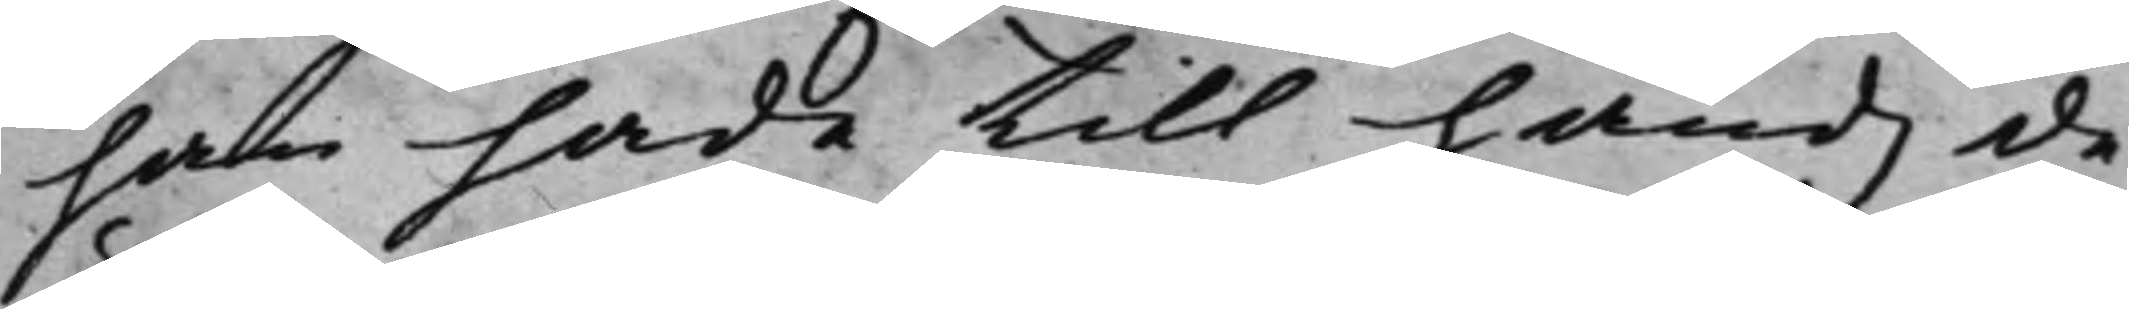han hade till handz de
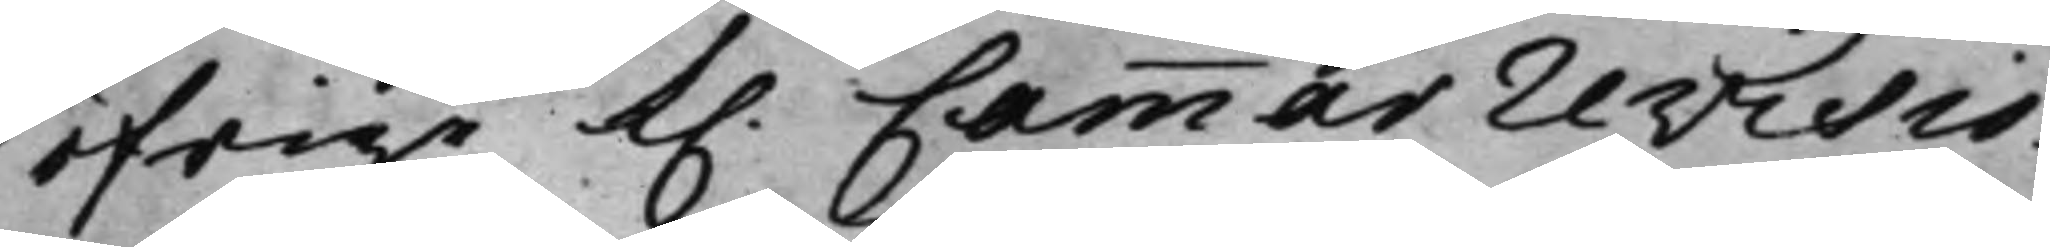öfrige K. Cammarrevisio¬
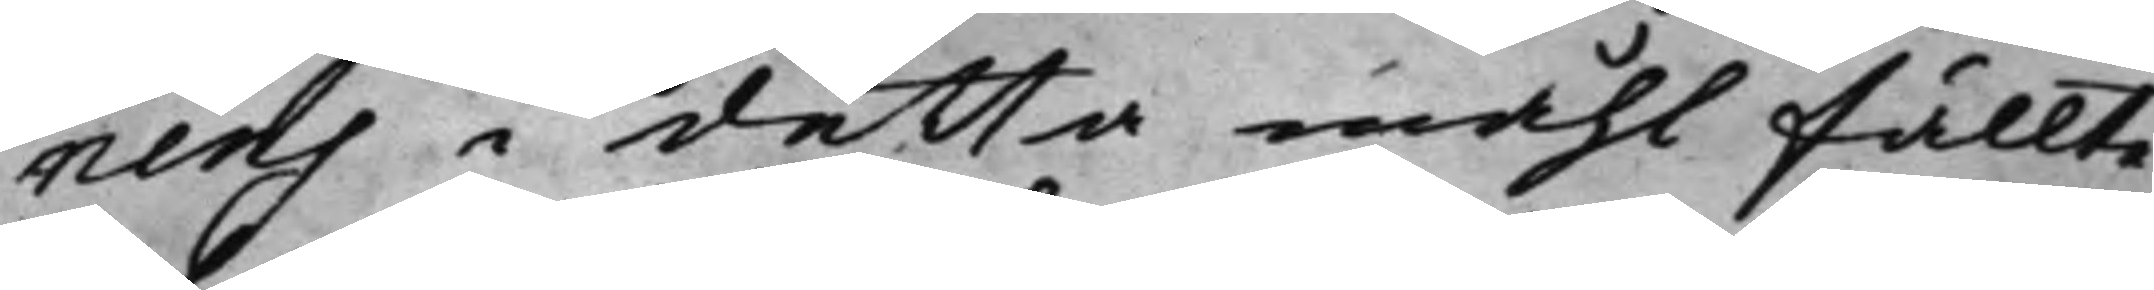nens i detta måhl fällte
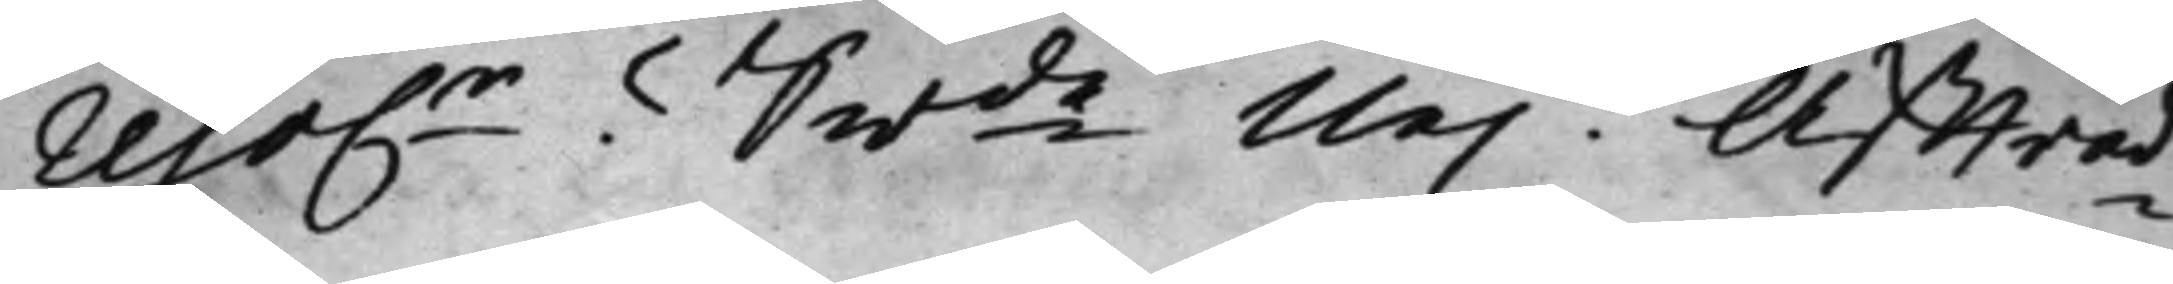reso.r Swde Nej. Affträd¬
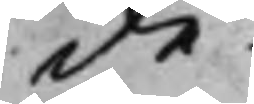de.
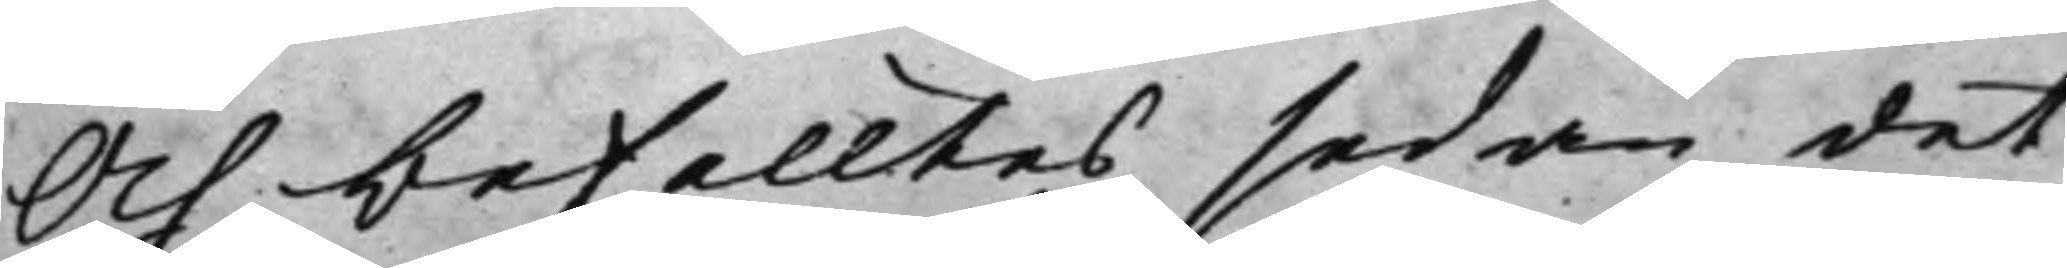Och befalltes sedan det
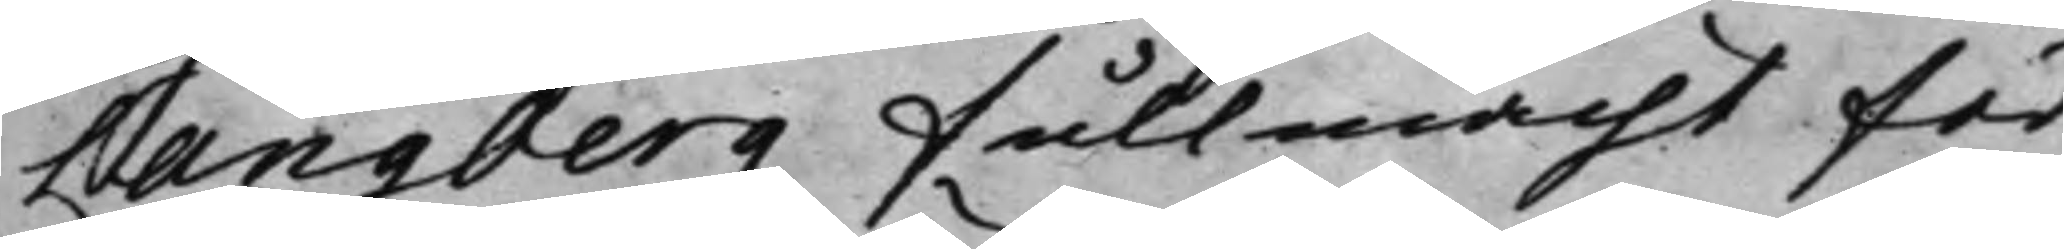Langberg fullmacht för
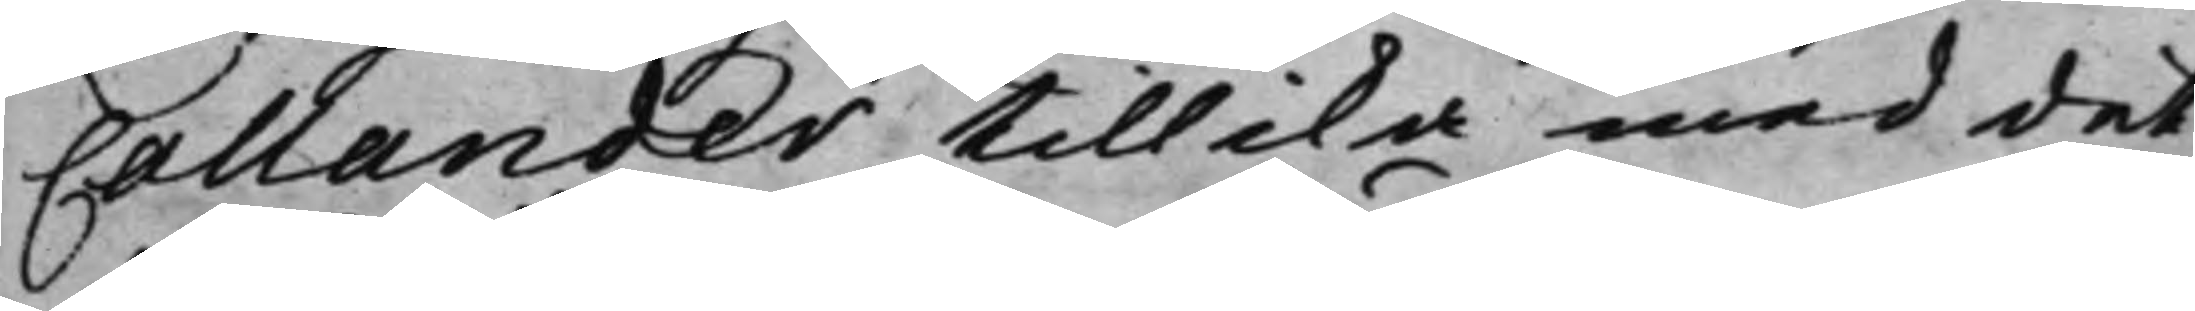Callander tillika med det
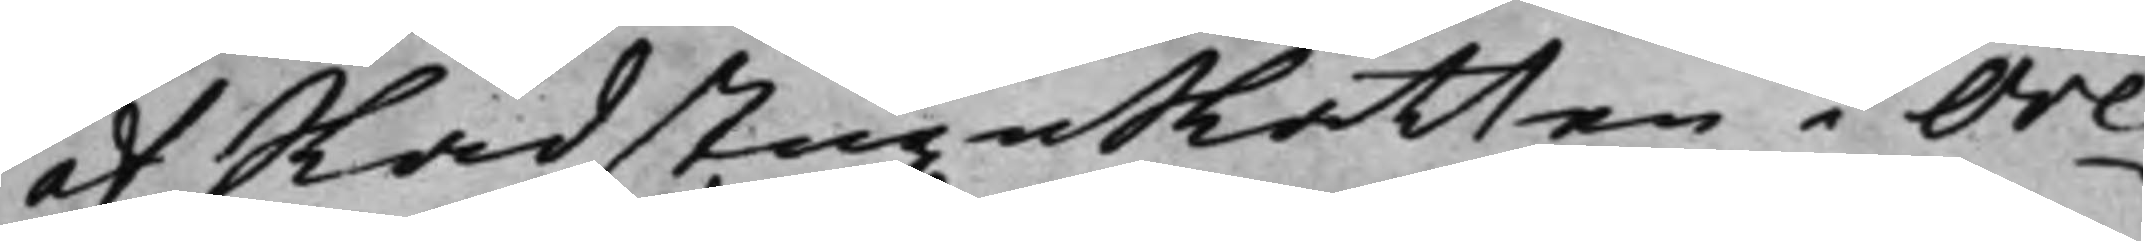af RådstuguRätten i Öre¬
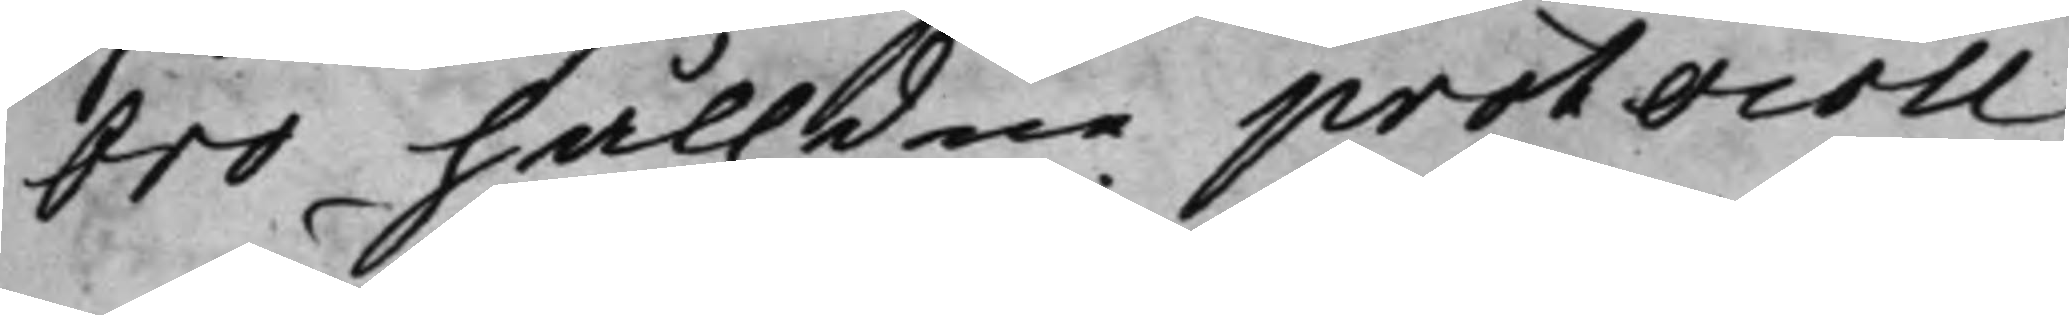bro hålldne protocoll,
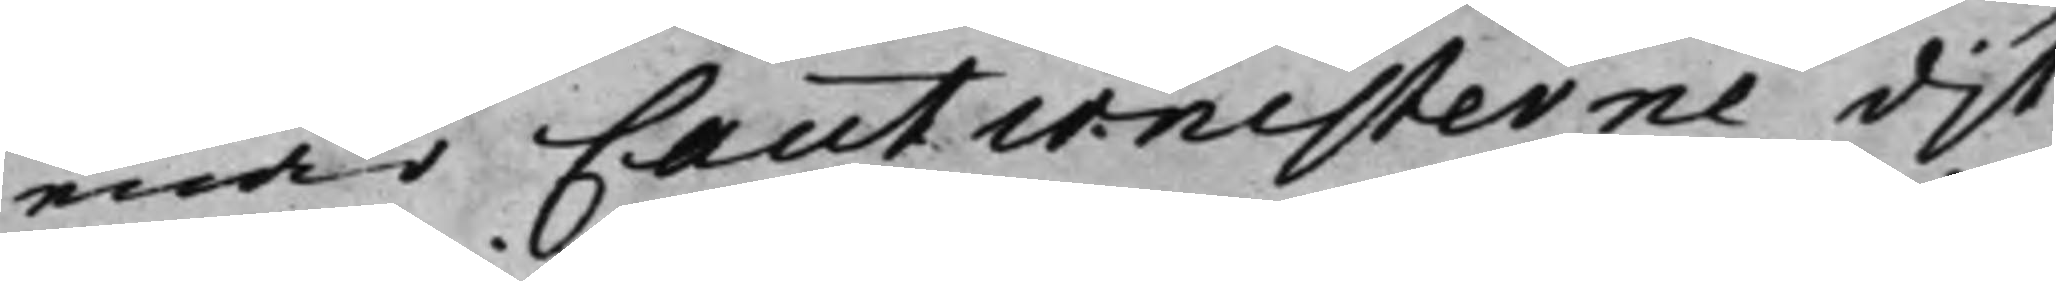enär Cautionisterne dit
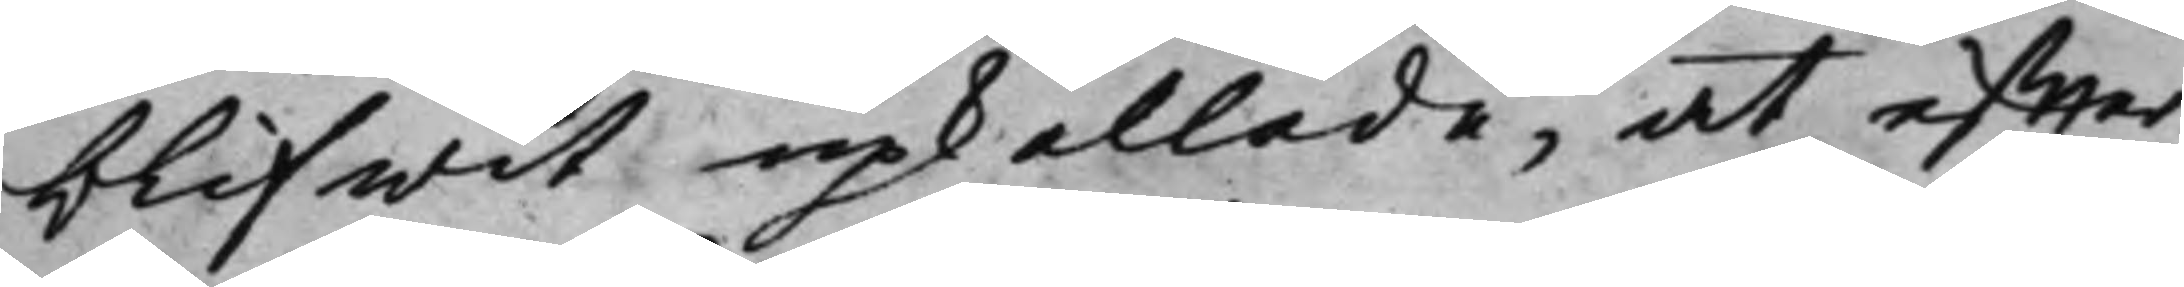blifwit upkallade, at effter
